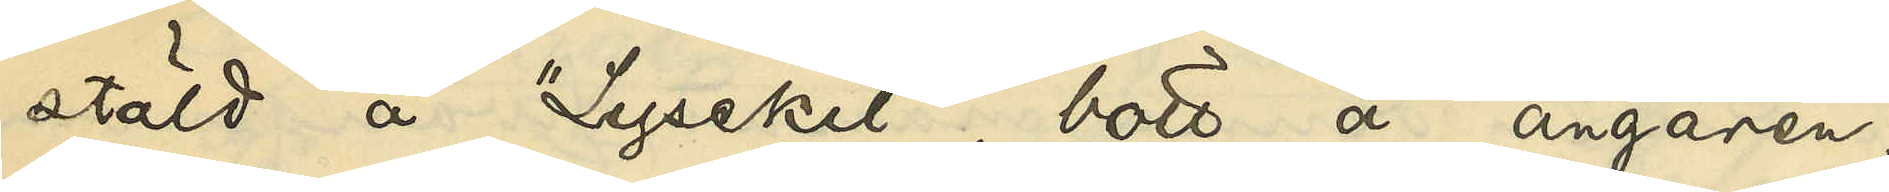stäld å "Lysekil", bott å ångaren,
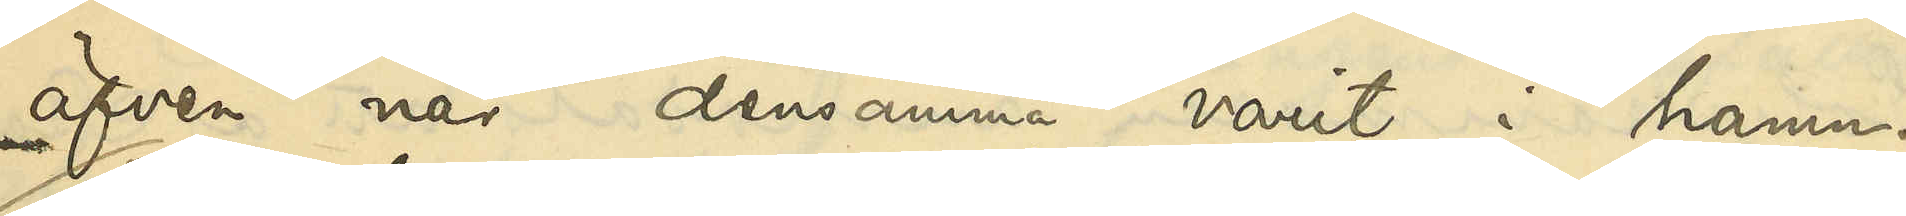äfven när densamma varit i hamn.
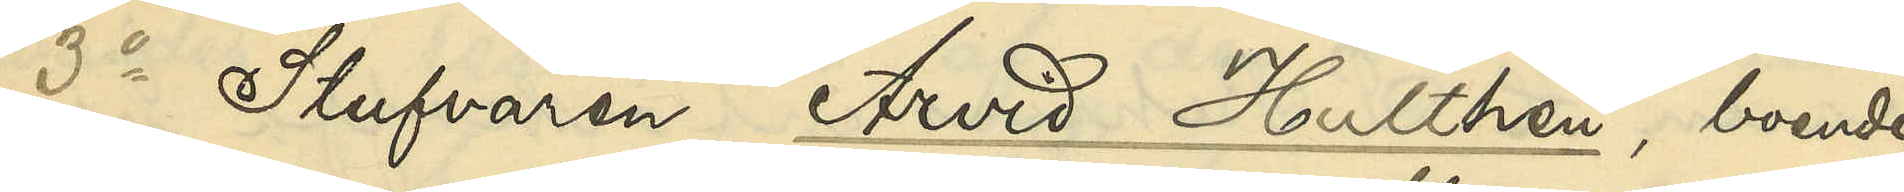3o Stufvaren Arvid Hulthén, boende
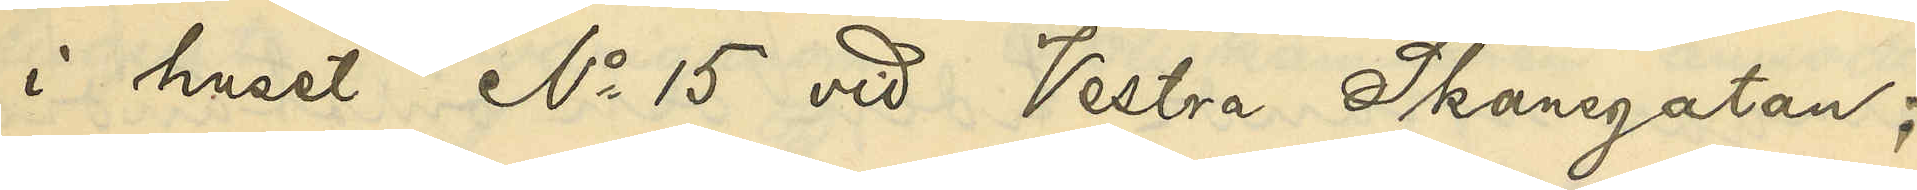i huset No 15 vid Vestra Skansgatan;
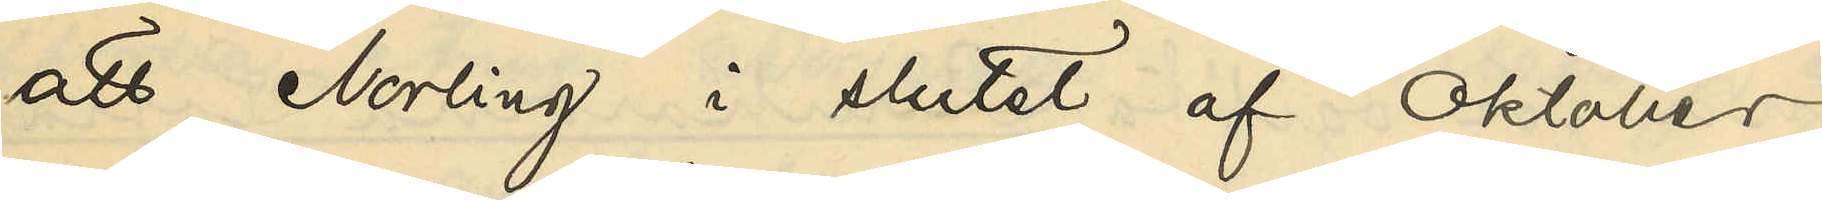att Norling i slutet af Oktober
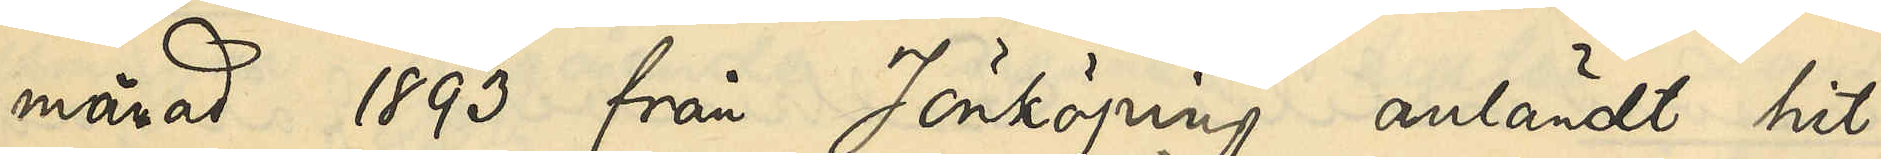månad 1893 från Jönköping anländt hit
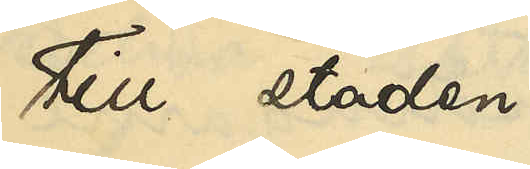till staden
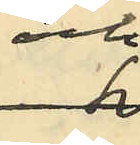och
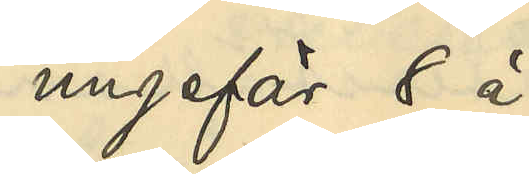ungefär 8 à
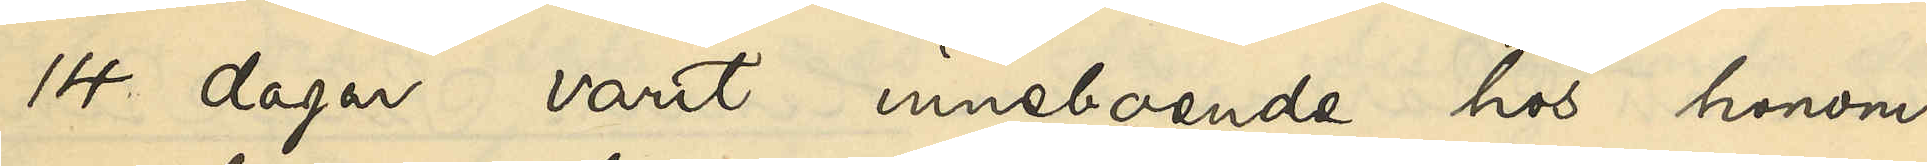14 dagar varit inneboende hos honom
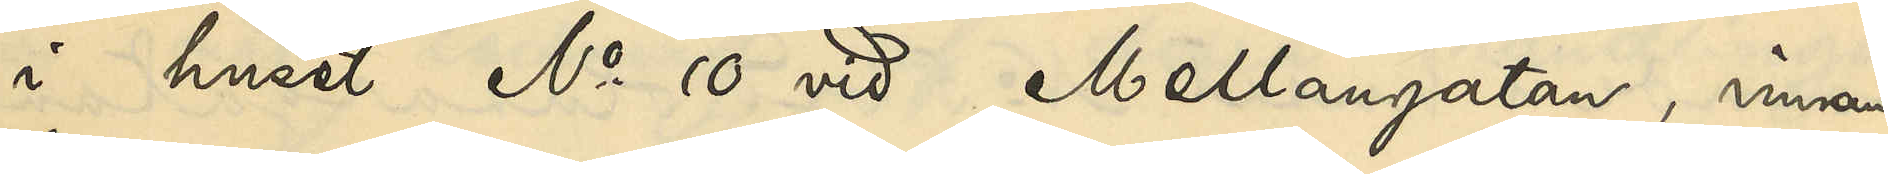i huset No 10 vid Mellangatan, innan
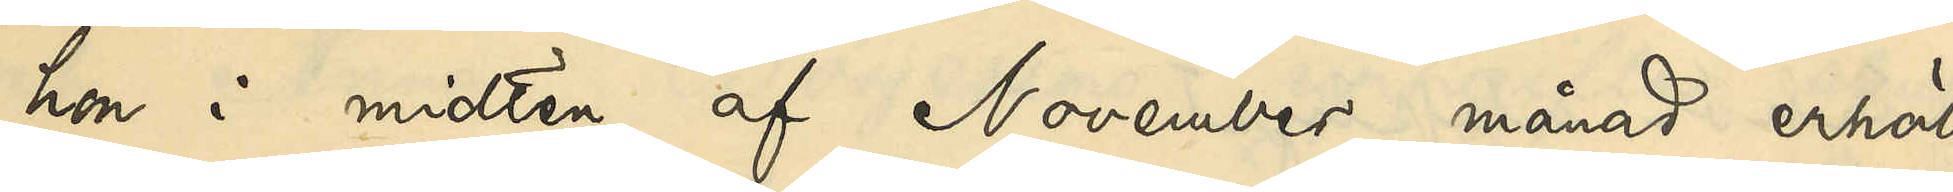hon i midten af November månad erhöll
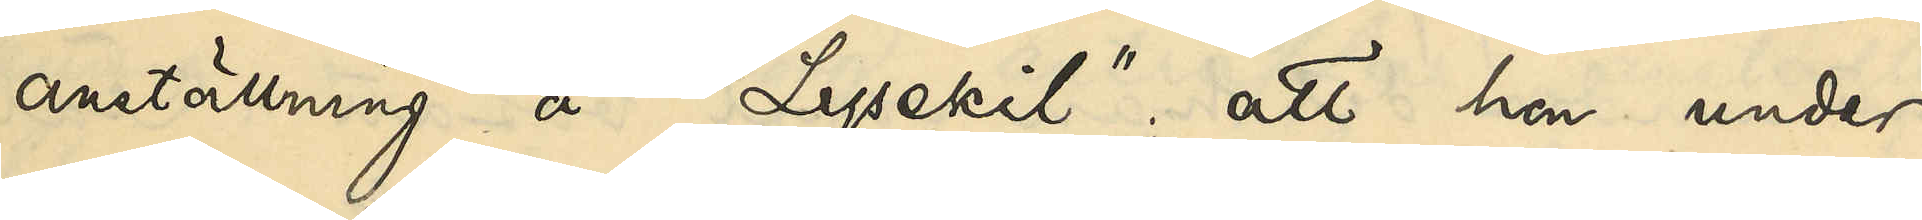anställning å "Lysekil", att hon under
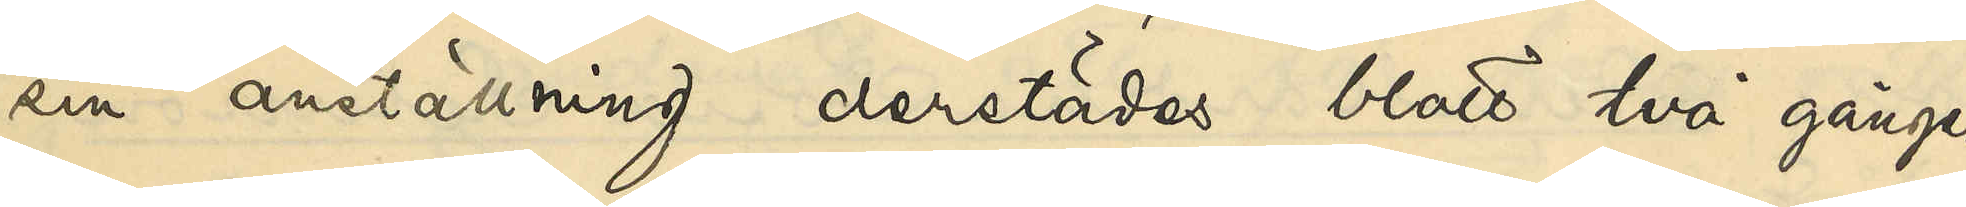sin anställning derstädes blott två gånger
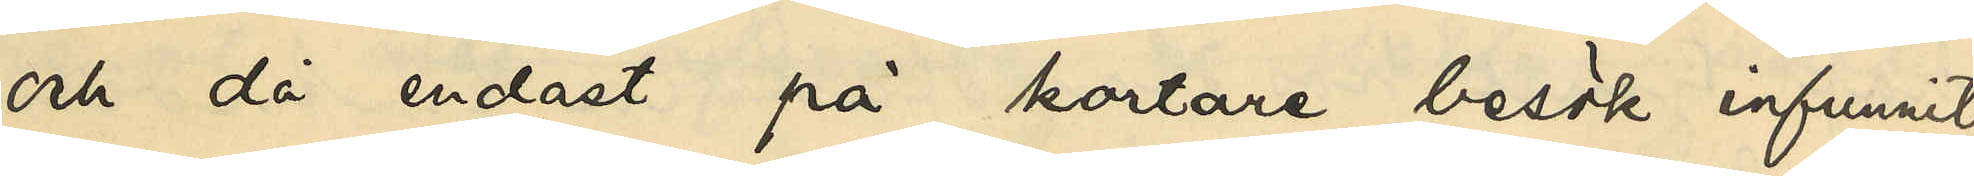och då endast på kortare besök infunnit 
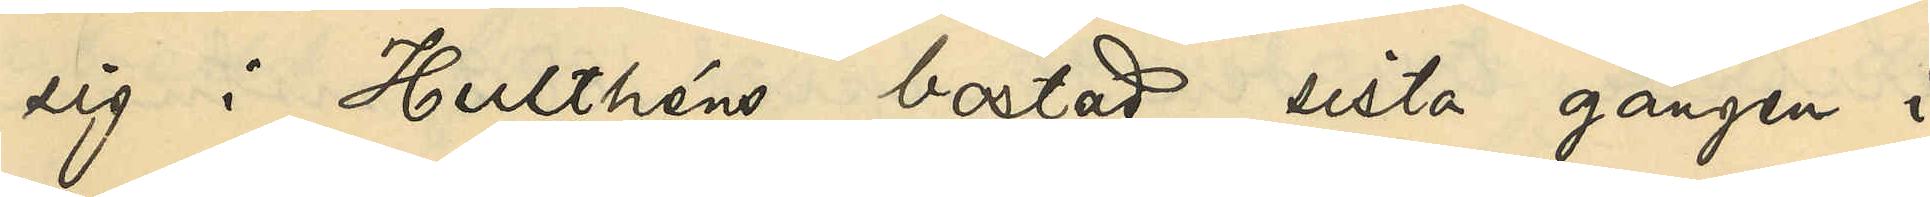sig i Hulthéns bostad, sista gången i
